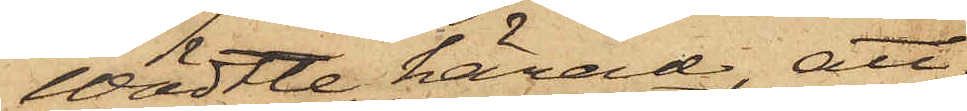Wädtle härad, att
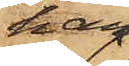han
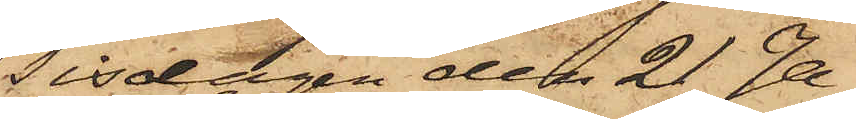Tisdagen den 21 Ja¬
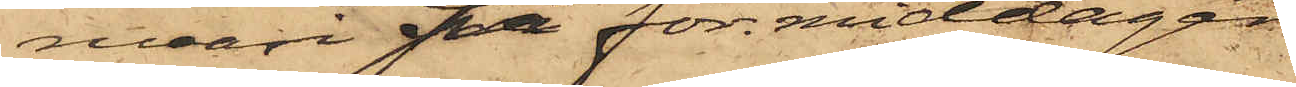nuari på förmiddagen
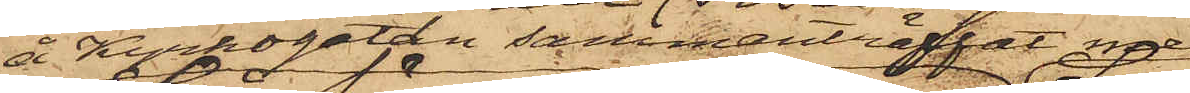å Kyrkogatan sammanträffat med
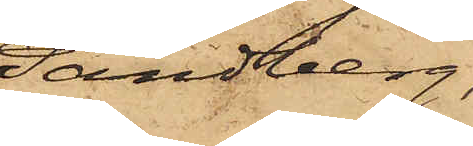Sandberg,
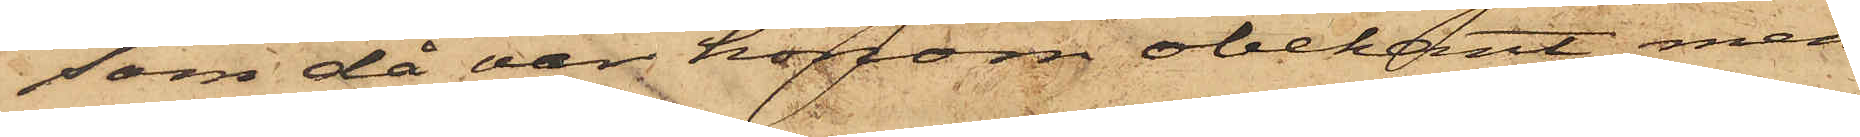som då var honom obekant men
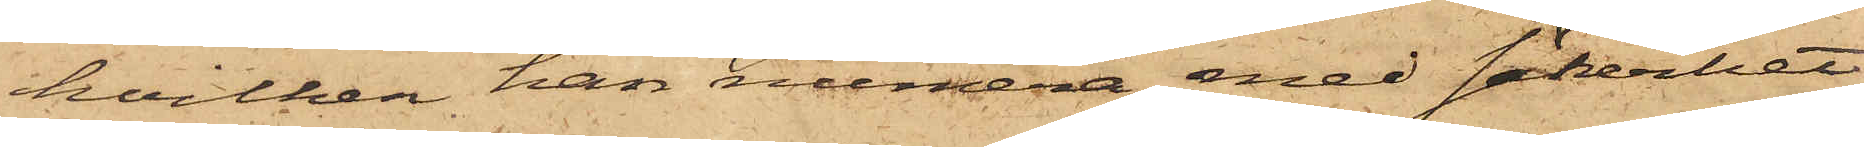hvilken han numera med säkerhet
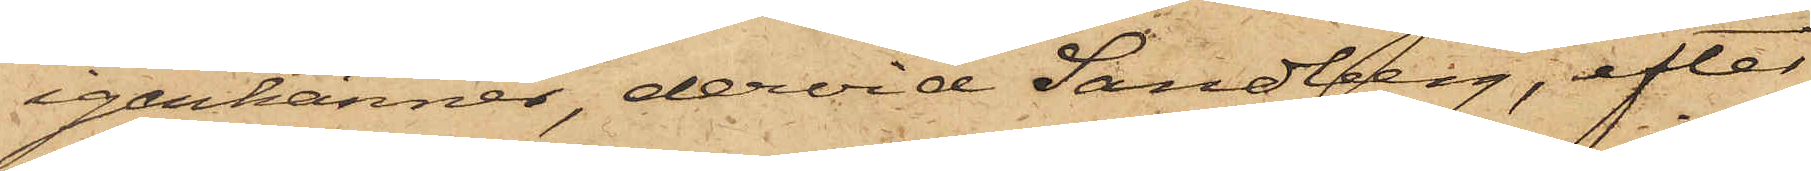igenkänner, dervid Sandberg, efter
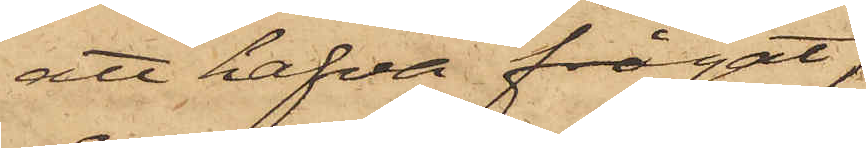att hafva frågat,
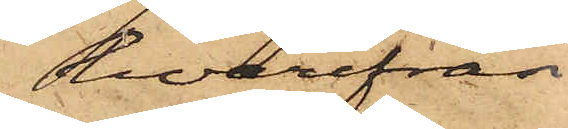hvarifrån
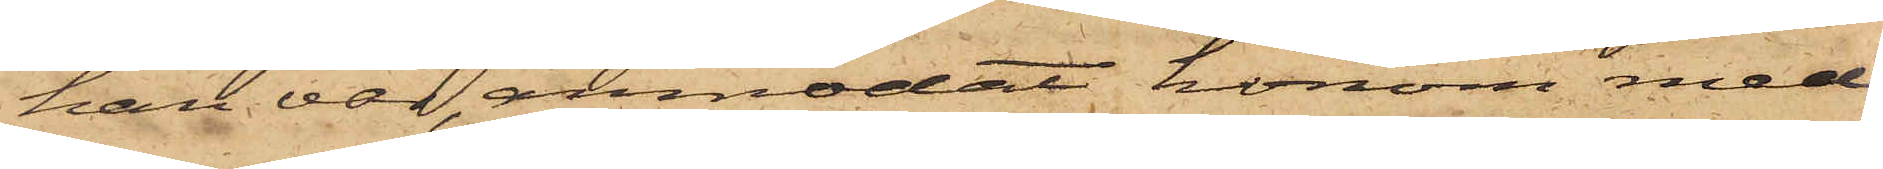han var, anmodat honom med¬
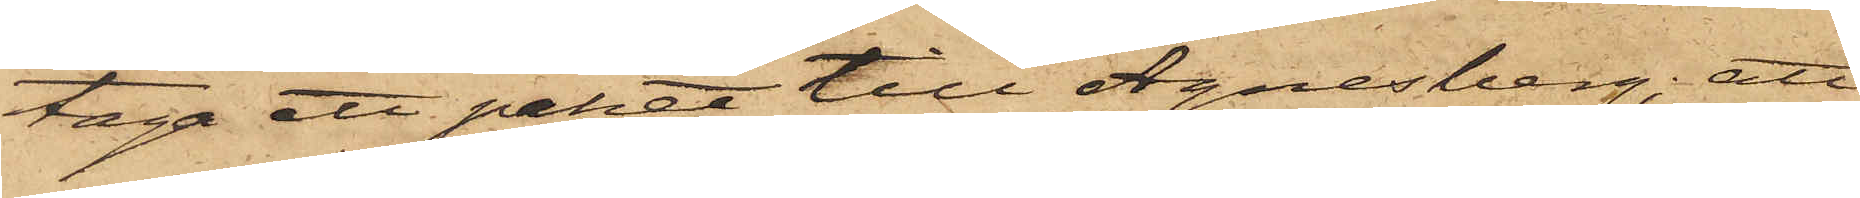taga ett paket till Agnesberg; att
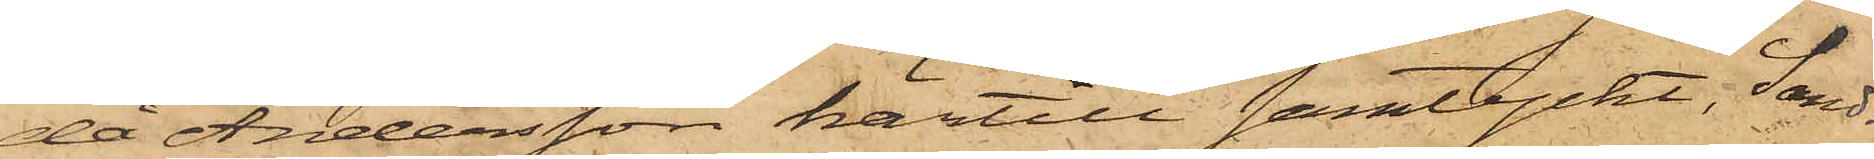då Andersson härtill samtyckt, Sand¬
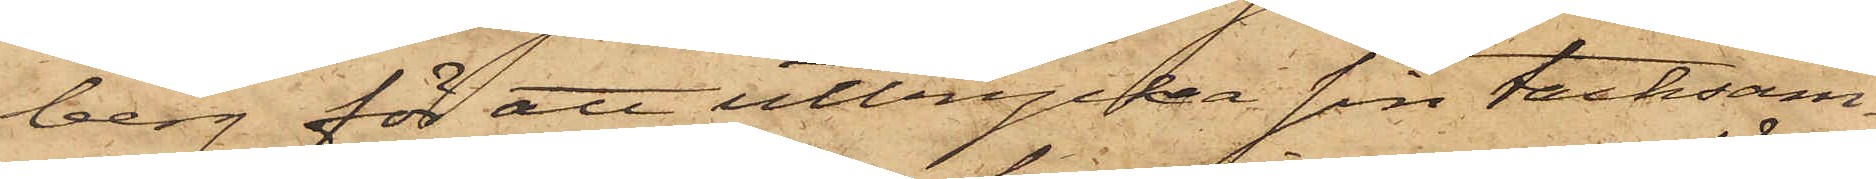berg för att uttrycka sin tacksam¬
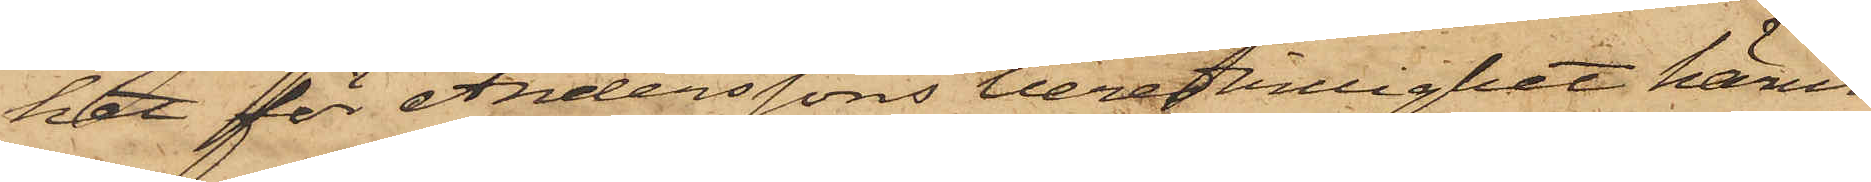het för Anderssons beredvillighet härut¬
